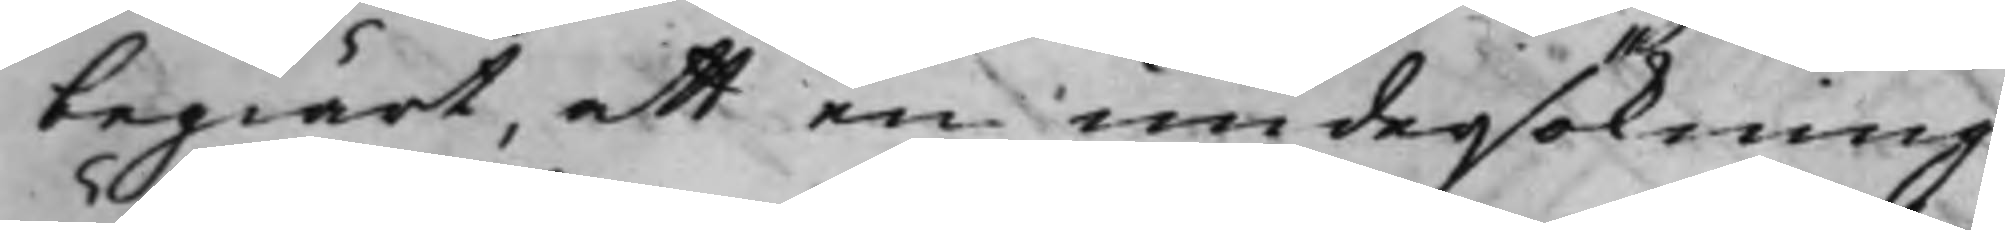begiärt, att en undersökning
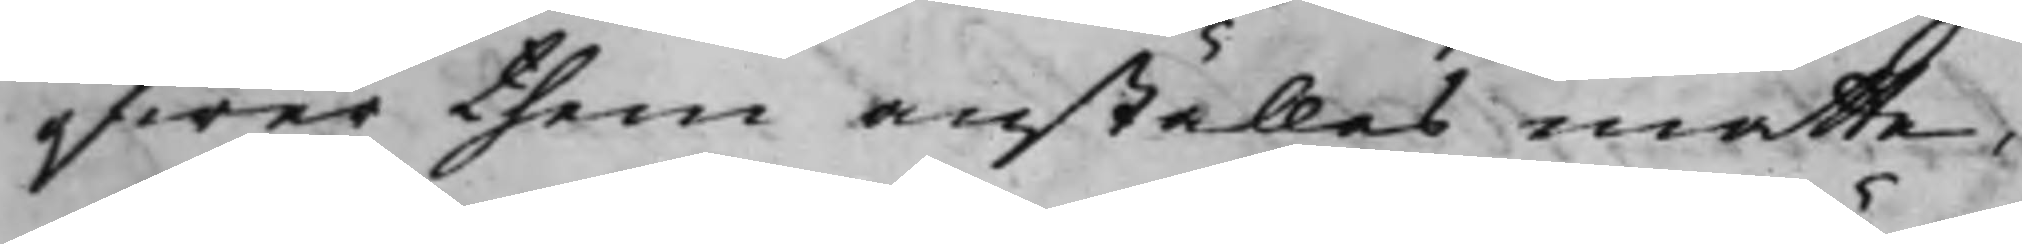öfwer them anställas måtte,
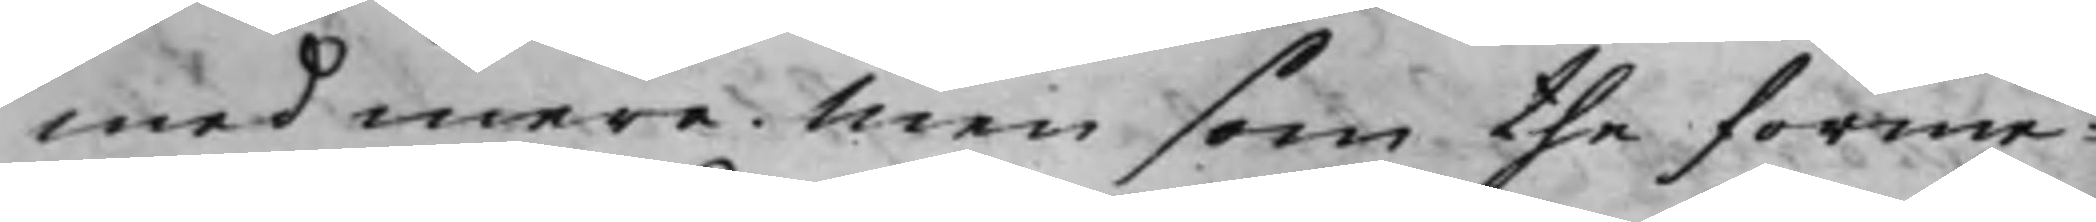med mera. Men som the förme¬
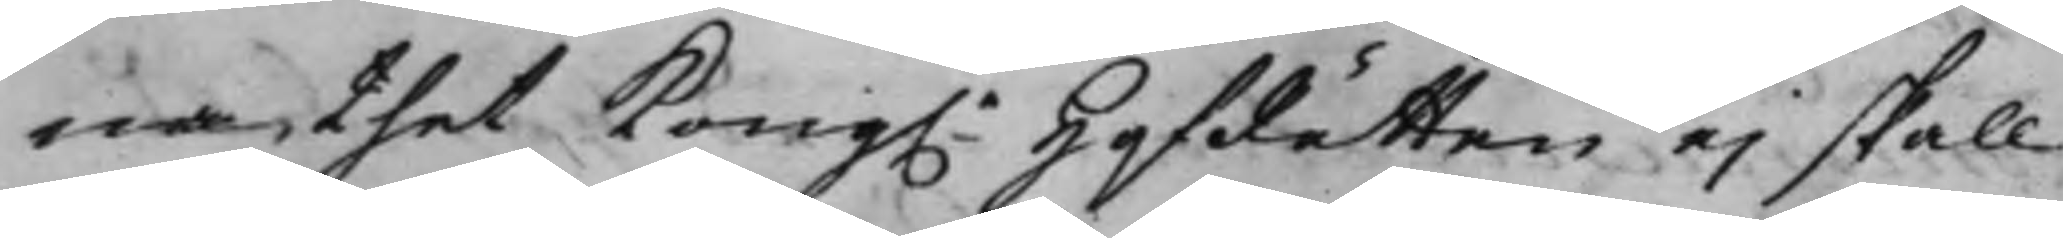na, thet Kong.e HofRätten ej skall
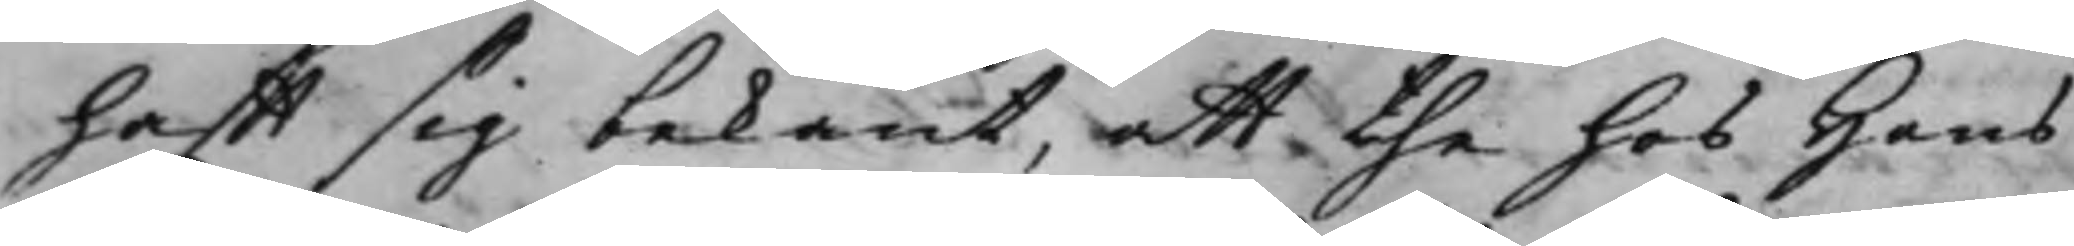hafft sig bekant, att the hos Hans
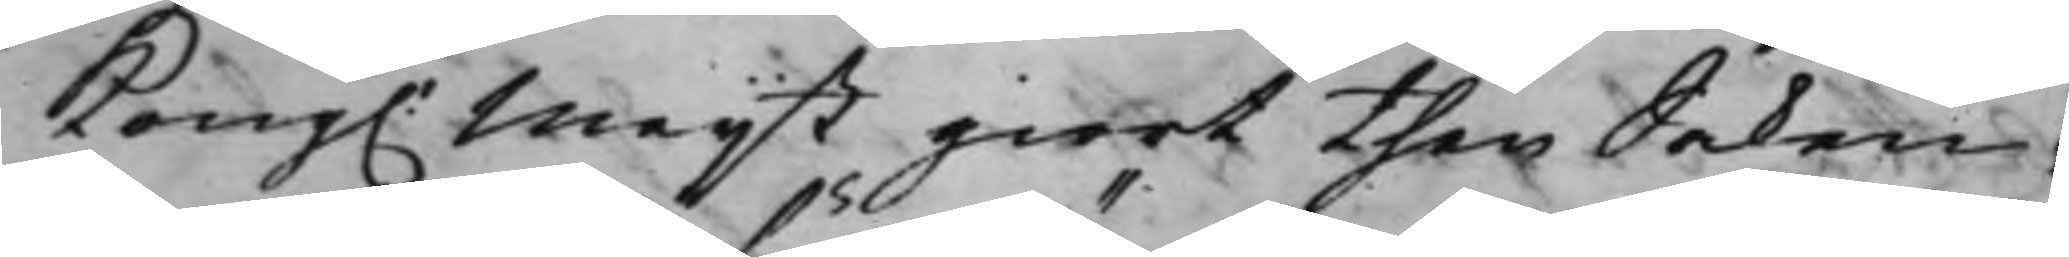Kong. Maijt giort then Saken,
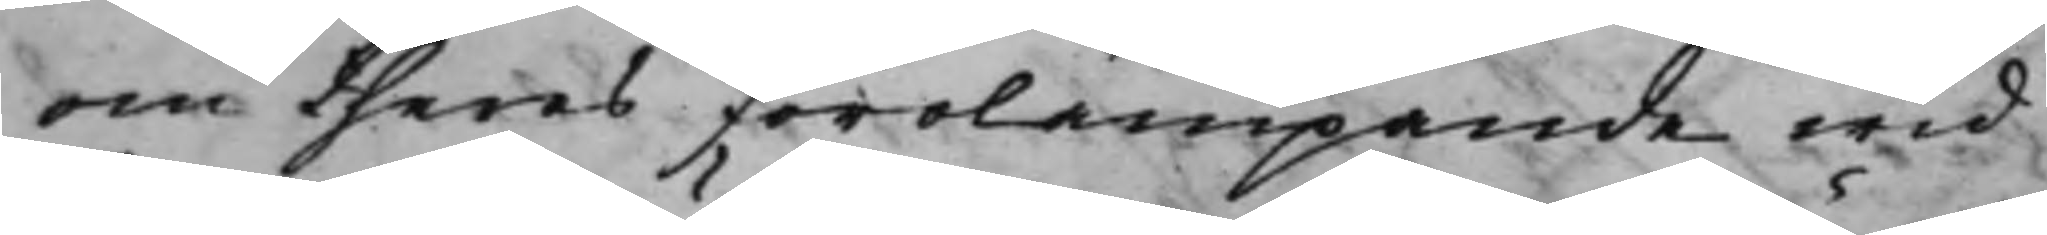om theras förolampande wid
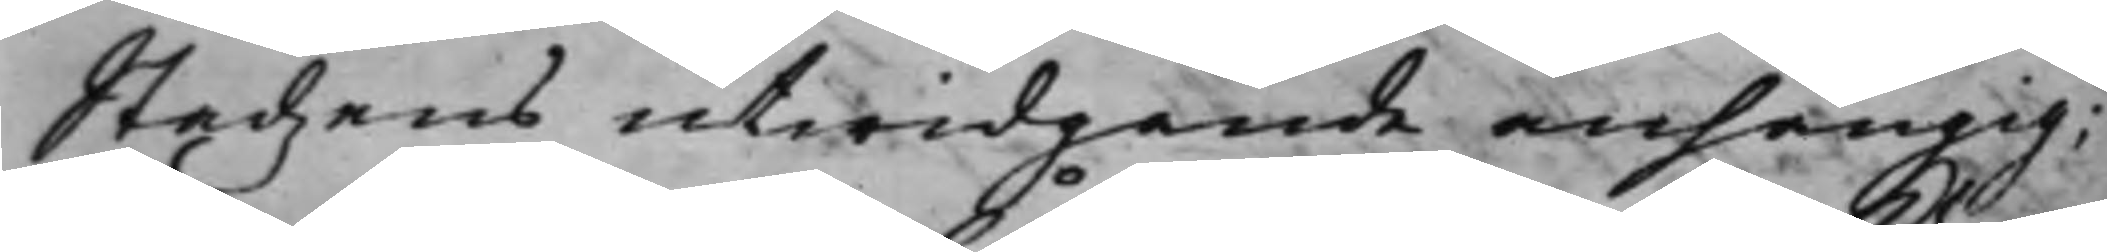Stadzens utwidgande anhängig;
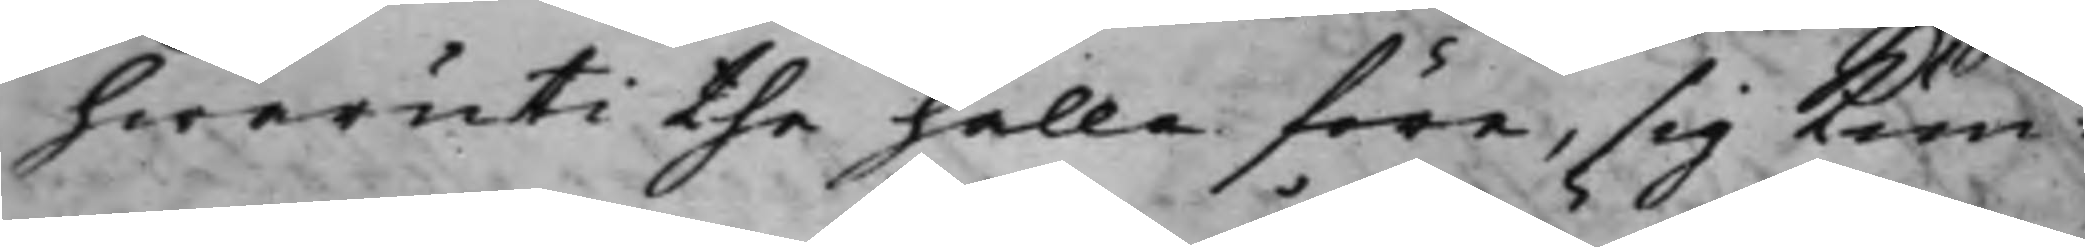hwaruti the hålla före, sig kun¬
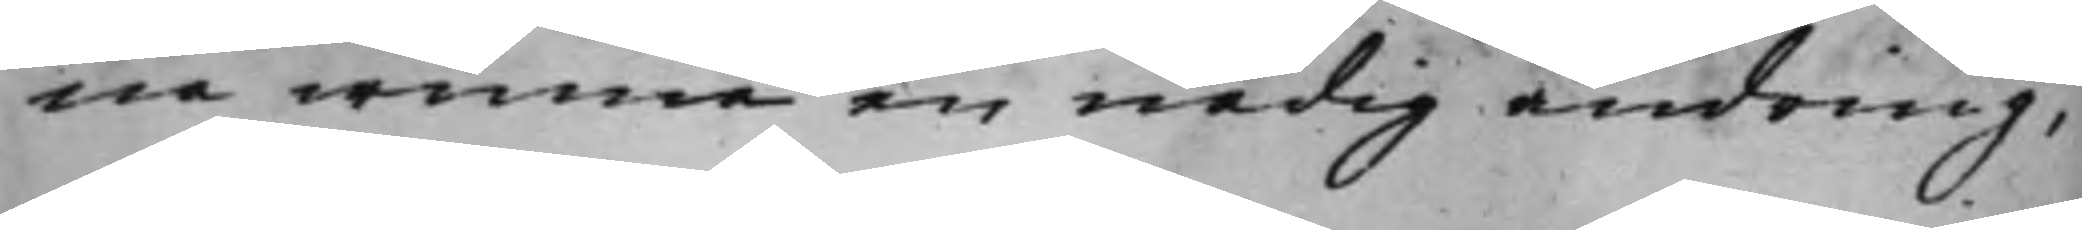na winna en nådig ändring,
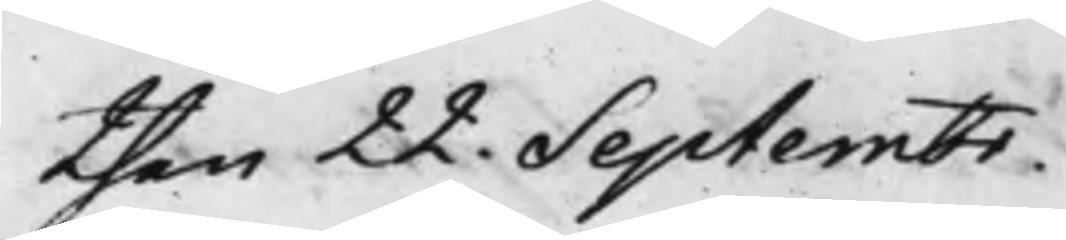then 22. Septembr.
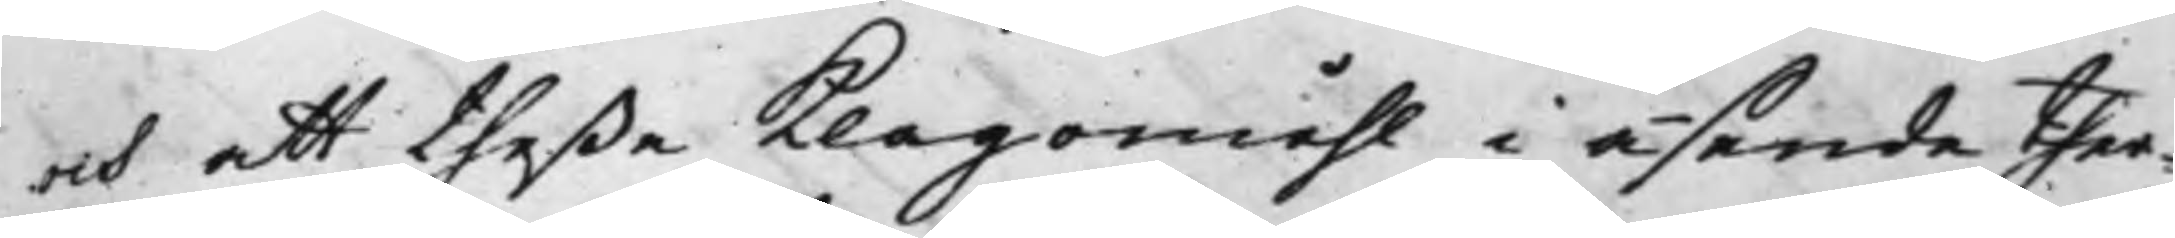och att theße Klagomåhl i åsende ther¬
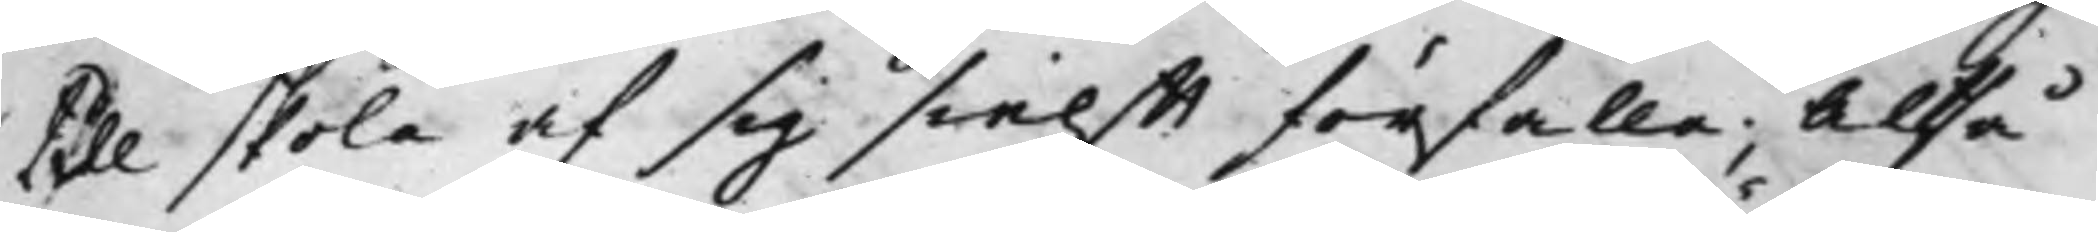till skola af sig sielfft förfalla; Altså
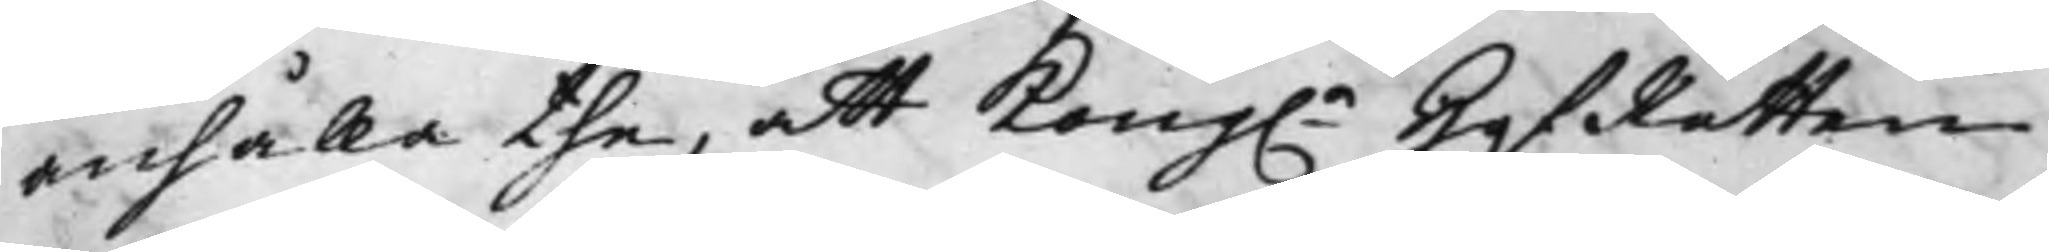anhålla the, att Kong.e HofRätten
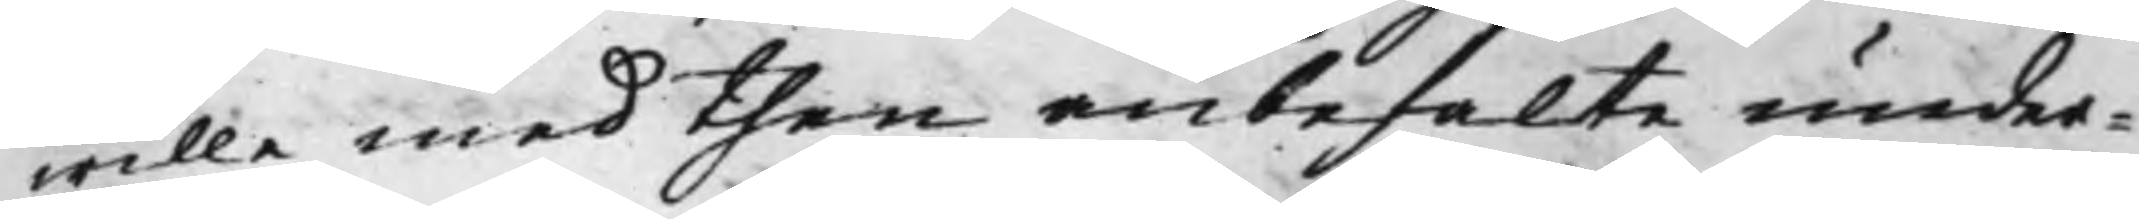wille med then anbefalte under¬
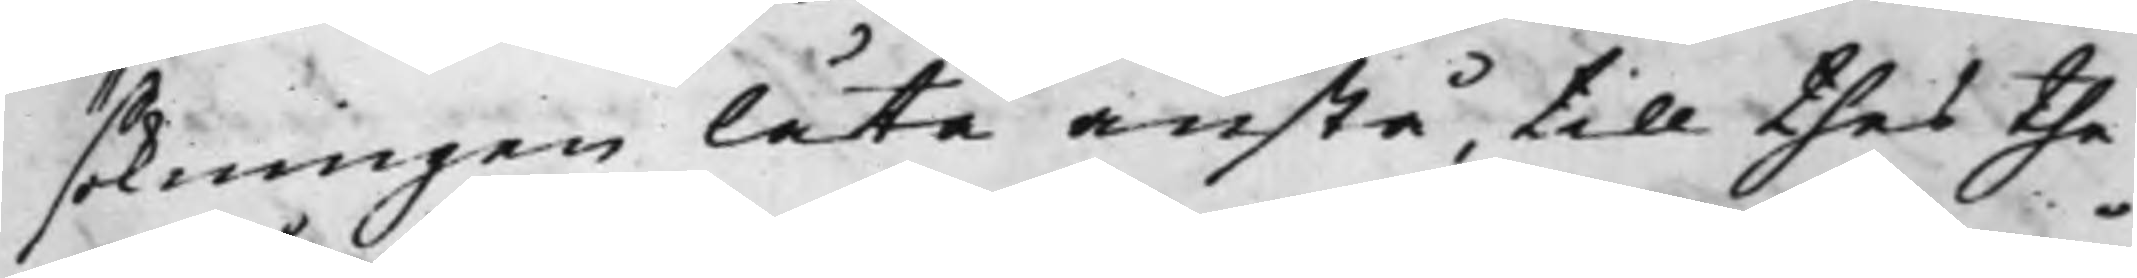sökningen låta anstå, till thes the
